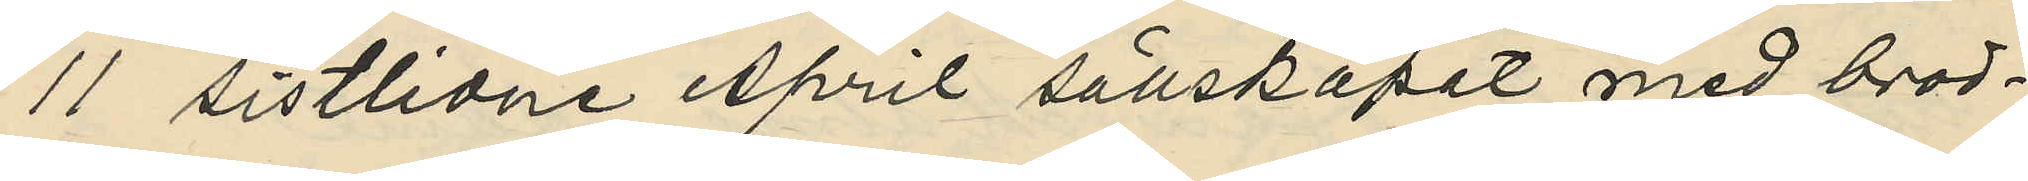11 sistlidne April sällskapat med brod¬
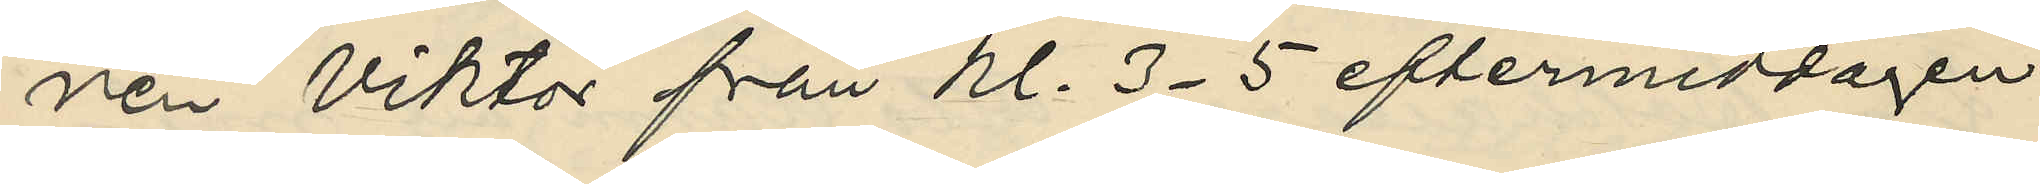ren Viktor från kl. 3-5 eftermiddagen
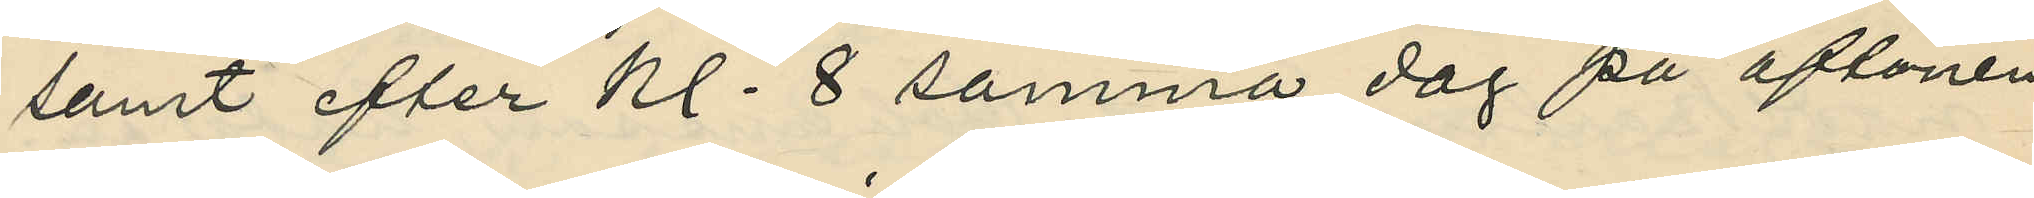samt efter kl. 8 samma dag på aftonen
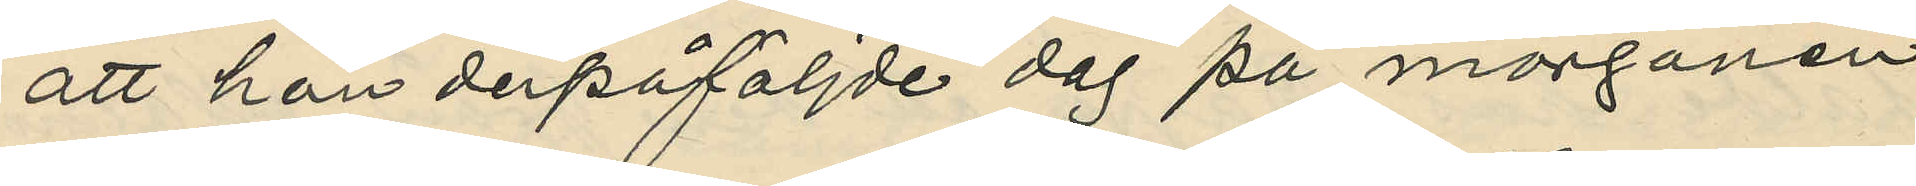att hon derpåföljde dag på morgonen
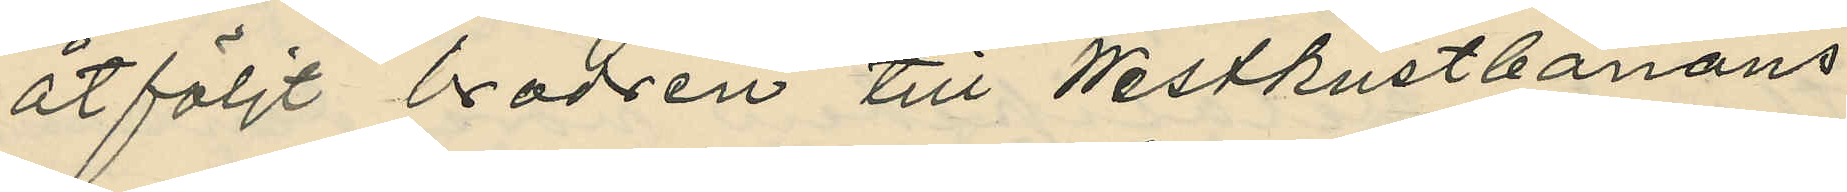åtföljt brodren till Westkustbanans
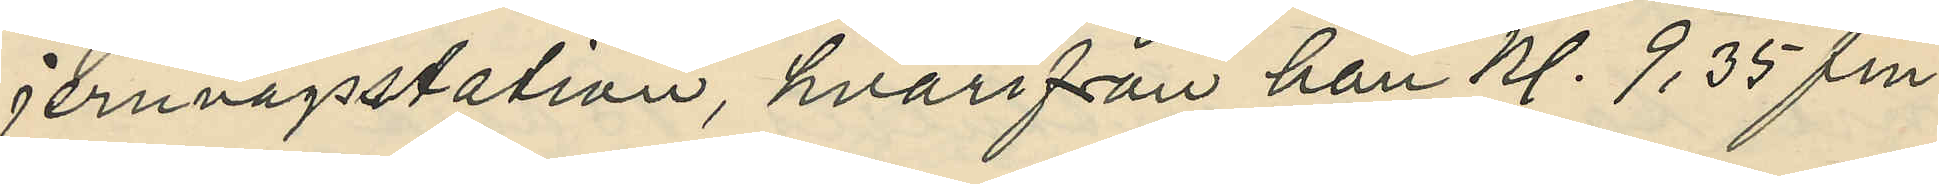jernvägsstation, hvarifrån han kl. 9,35 fm.
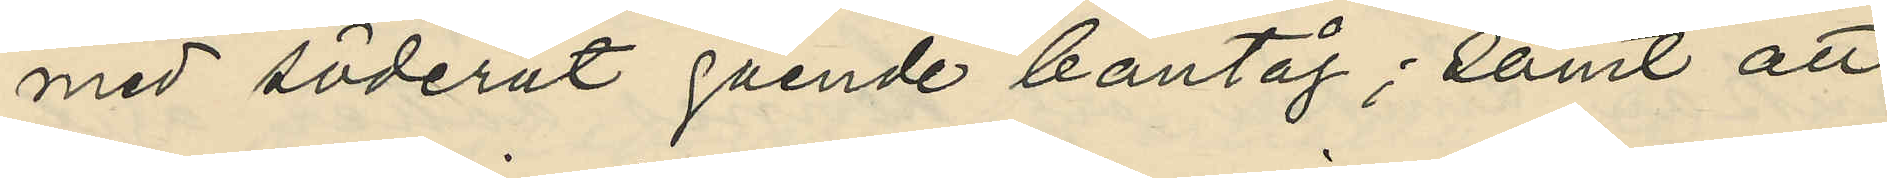med söderut gående bantåg; samt att
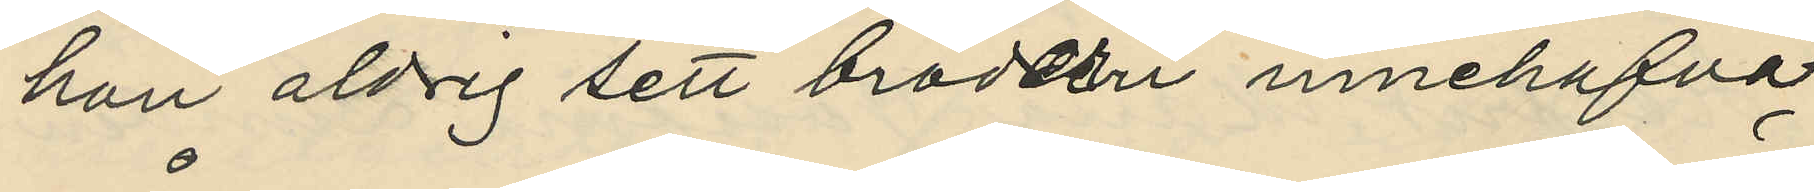hon aldrig sett brodern innehafva
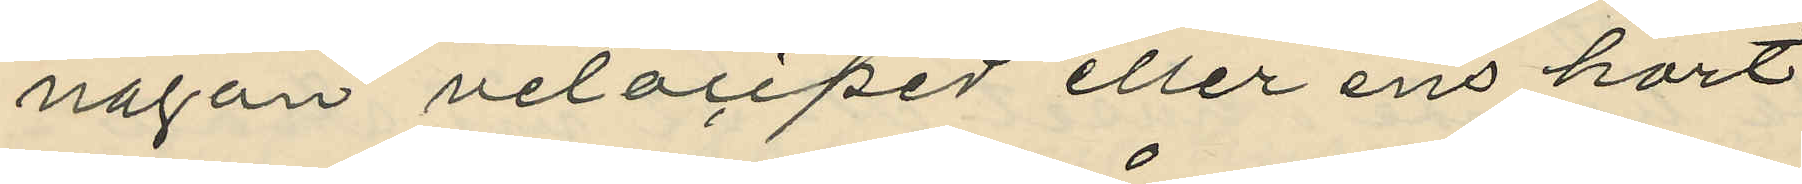någon velociped eller ens hört
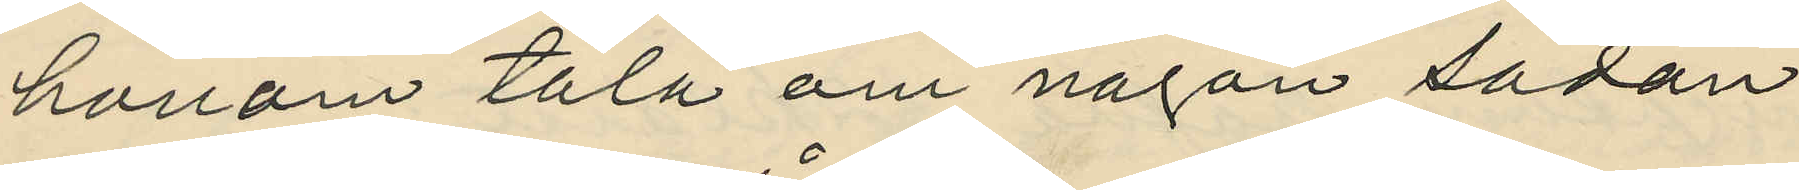honom tala om någon sådan.
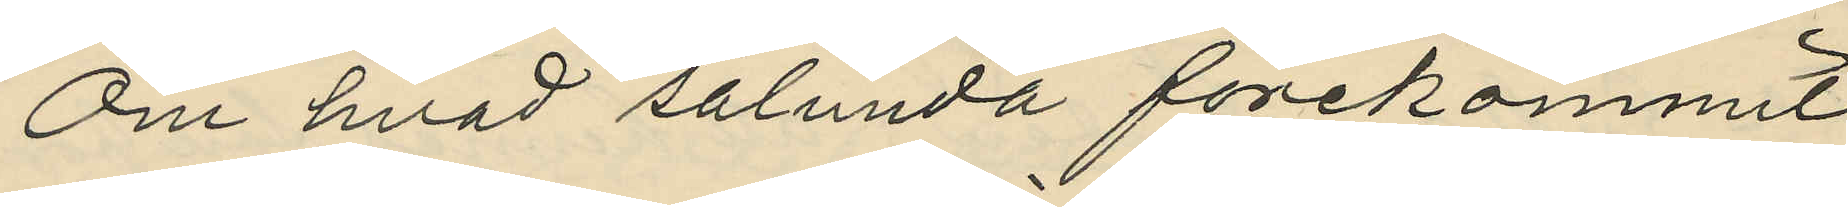Om hvad sålunda förekommit
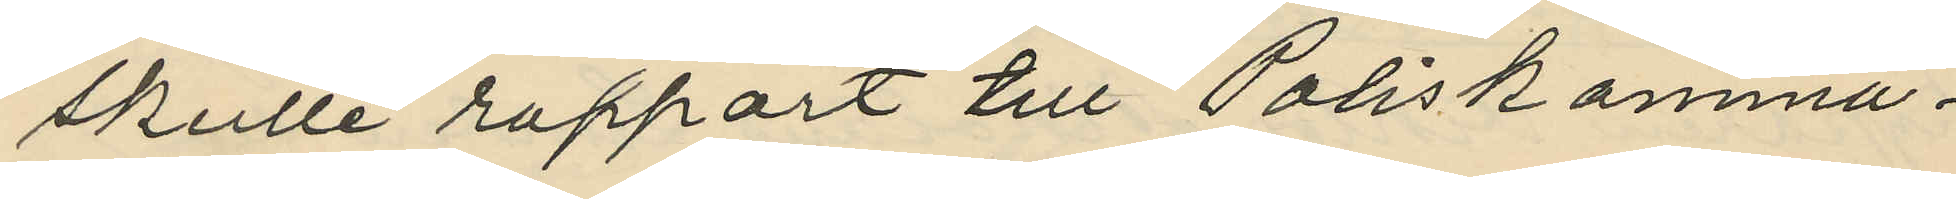skulle rapport till Poliskamma¬
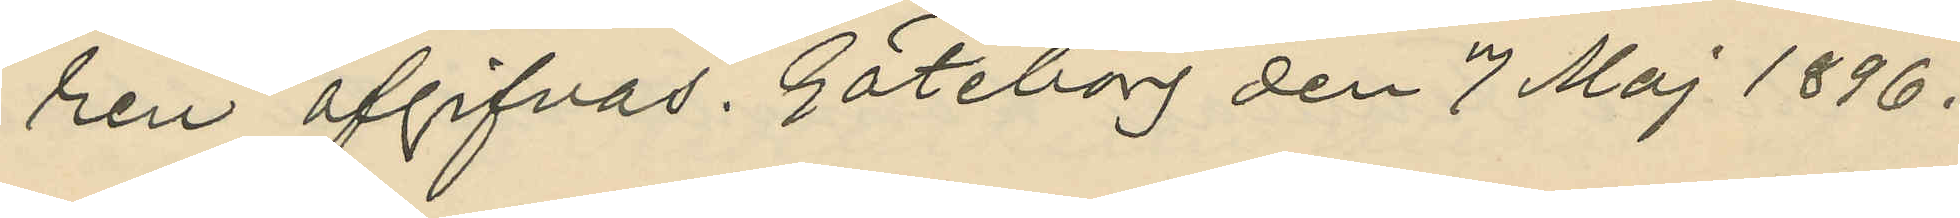ren afgifvas. Göteborg den 7 Maj 1896.
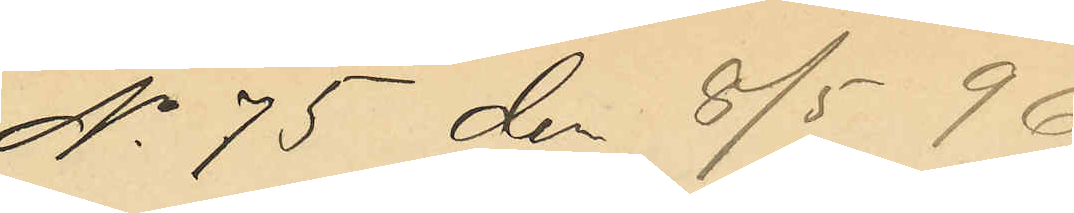No 75 den 8/5 96.
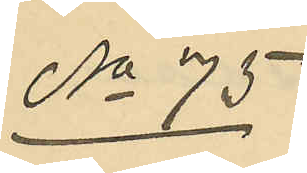No 75
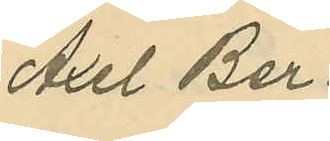Axel Ber¬
